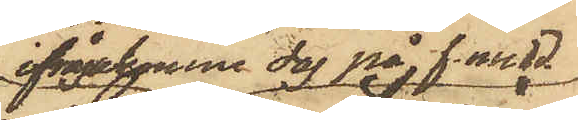ifrågakomne dag på f.midd.
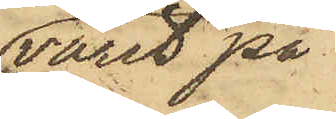varit på
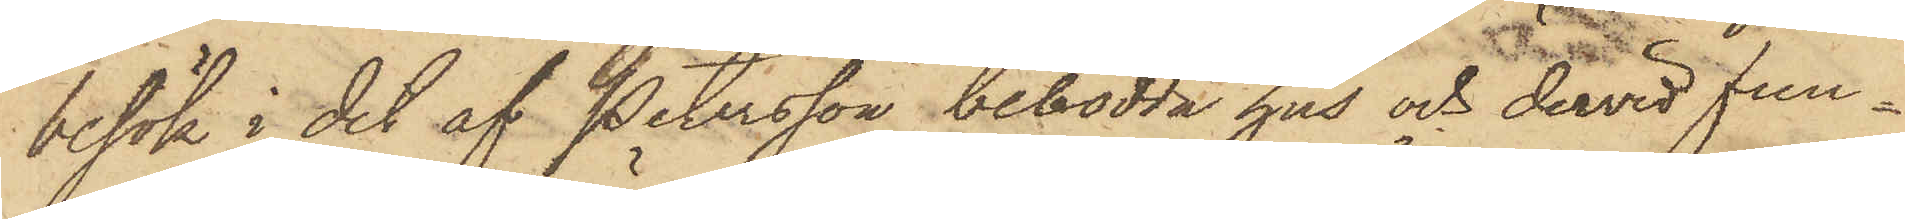besök i det af Petersson bebodda hus och dervid fun¬
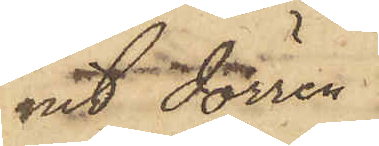nit dörren
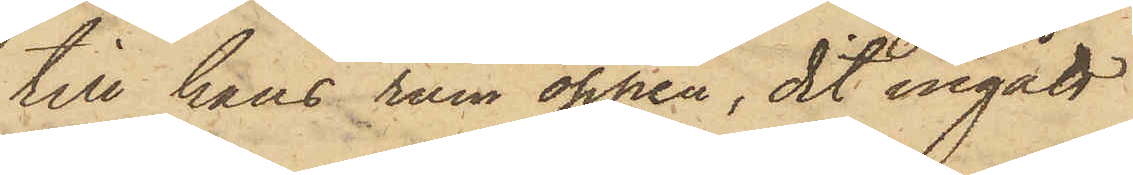till hans rum öppen, dit ingått
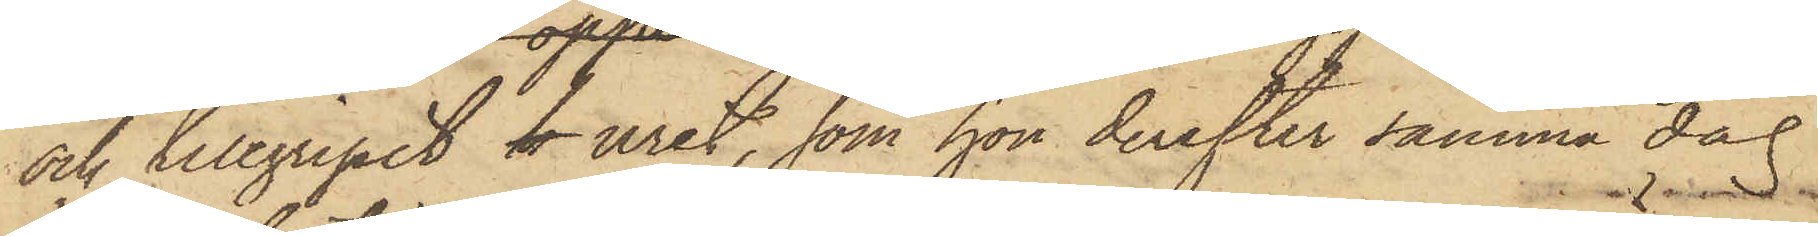och tillgripit k uret, som hon derefter samma dag
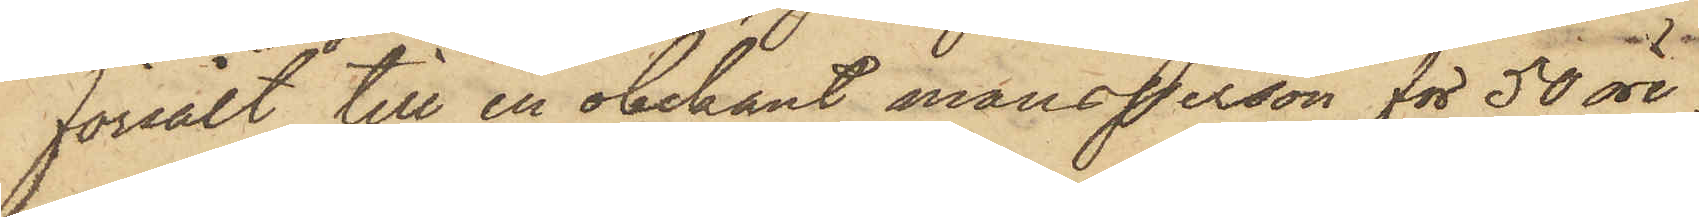försålt till en obekant mansperson för 50 öre.
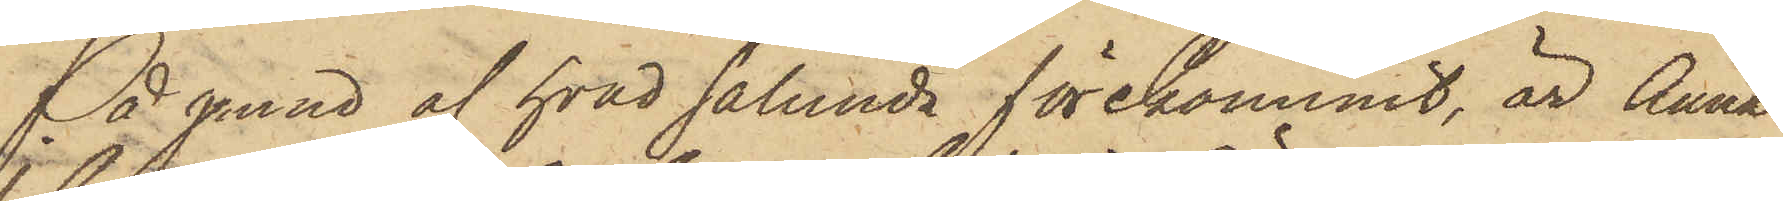På grund af hvad sålunda förekommit, är Anna
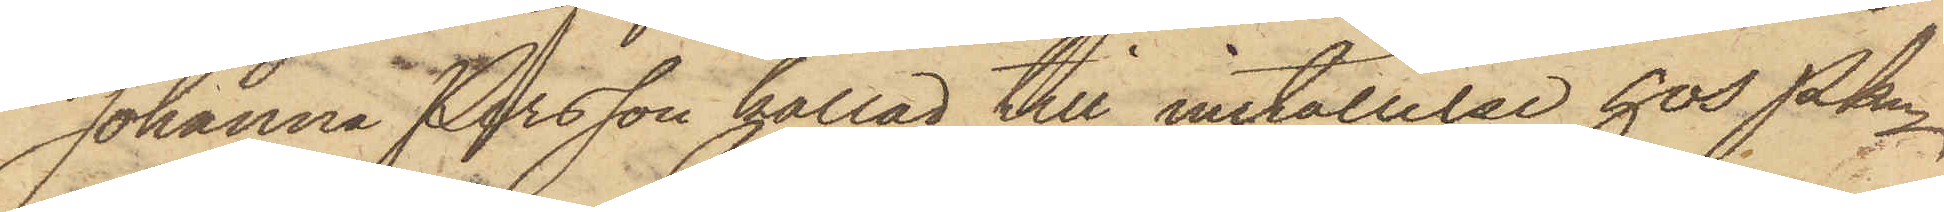Johanna Persson kallad till inställelse hos PKn
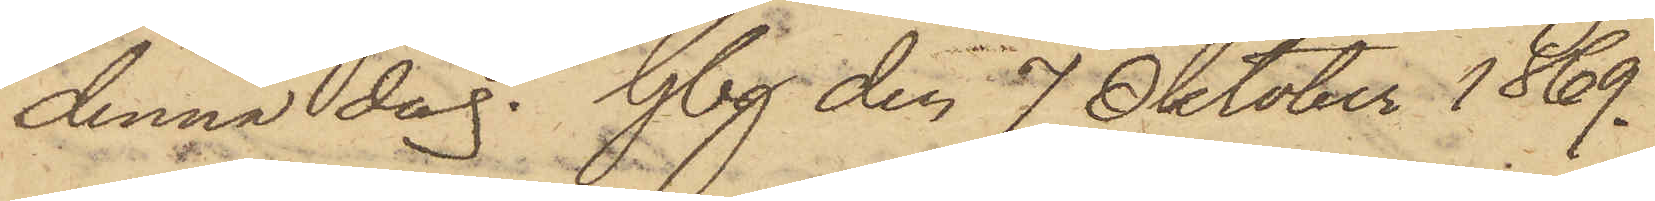denna dag. Gbg den 7 Oktober 1869.
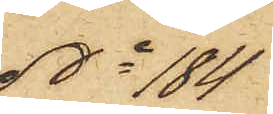No 184
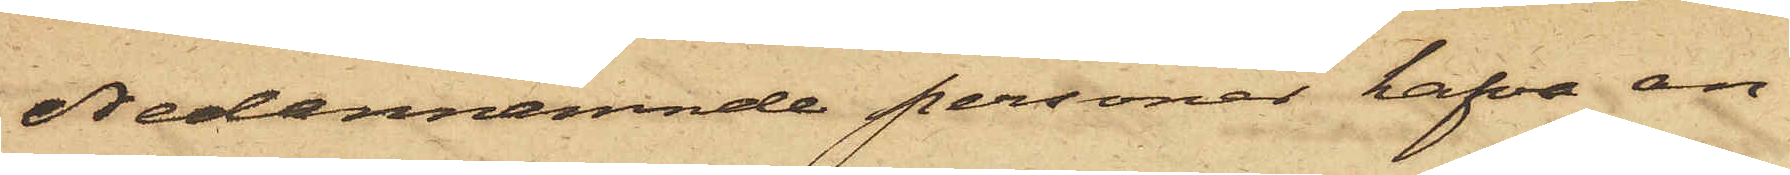Nedannämnde personer hafva an¬
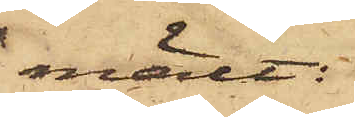mält:
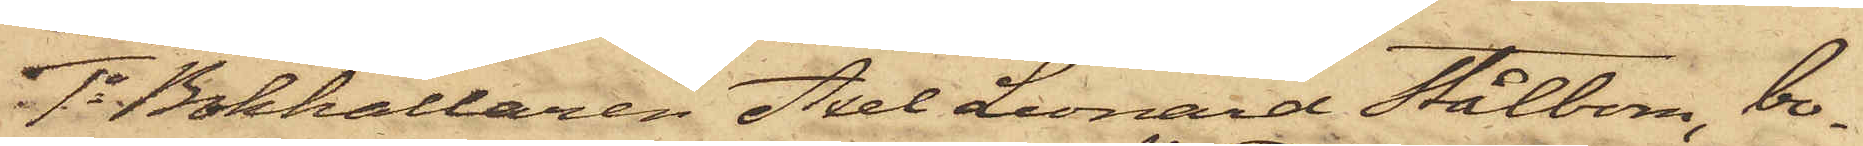1o Bokhållaren Axel Leonard Stålbom, bo¬
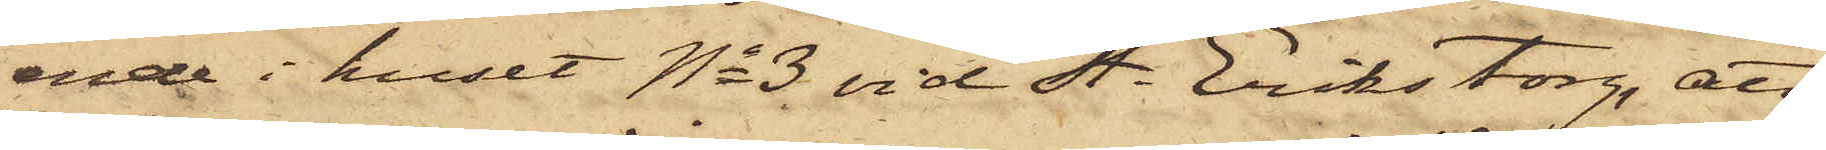ende i huset No 3 vid St. Eriks torg, att
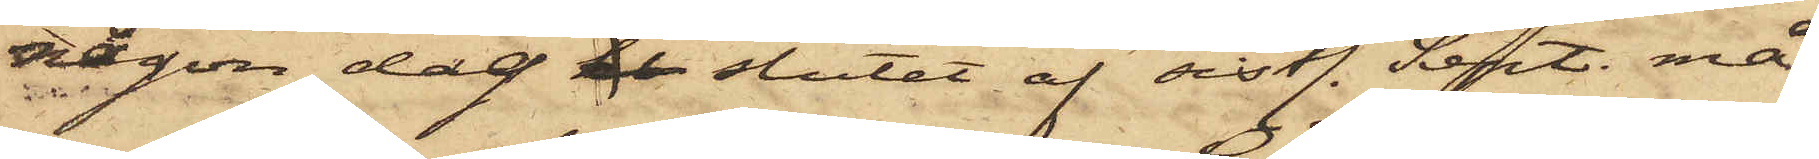någon dag i slutet af sistl. Sept. må¬
